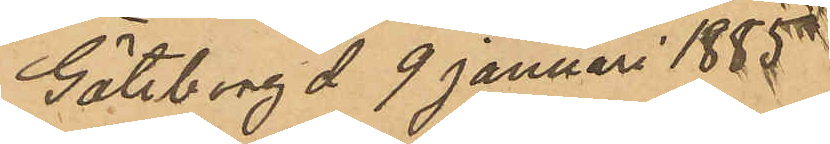Göteborg d 9 januari 1885
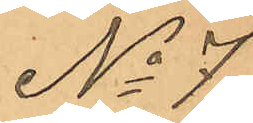No 7
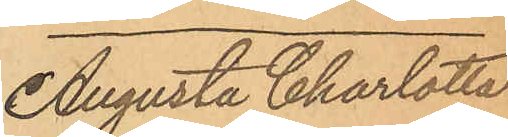Augusta Charlotta
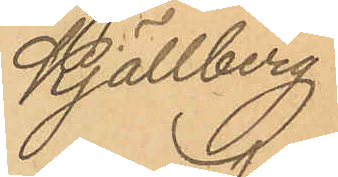Kjällberg
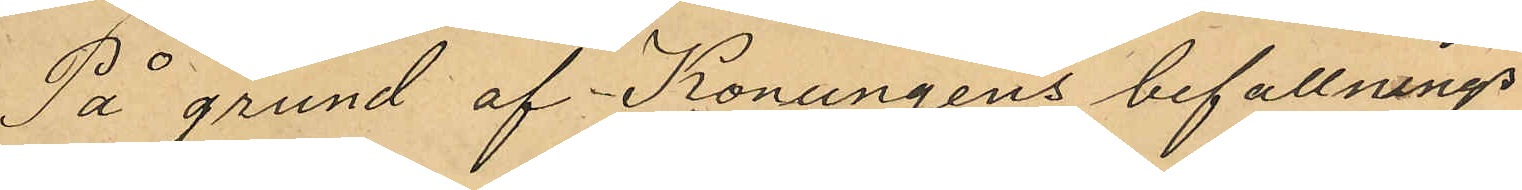På grund af Konungens befallnings
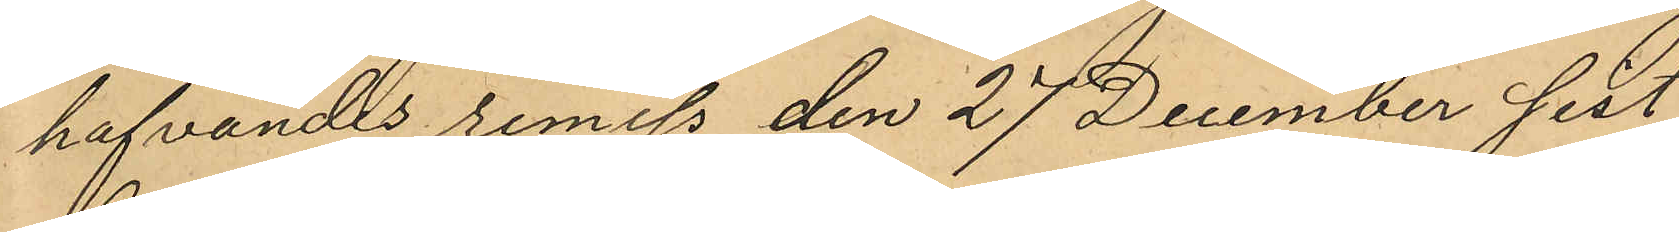hafvandes remiss den 27 December sist
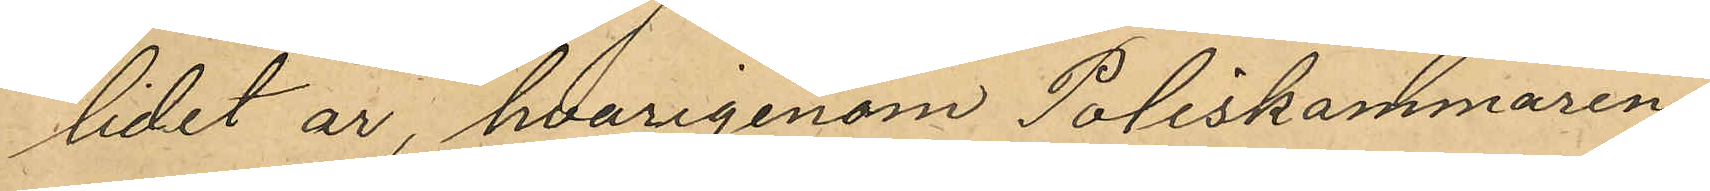lidet år, hvarigenom Poliskammaren
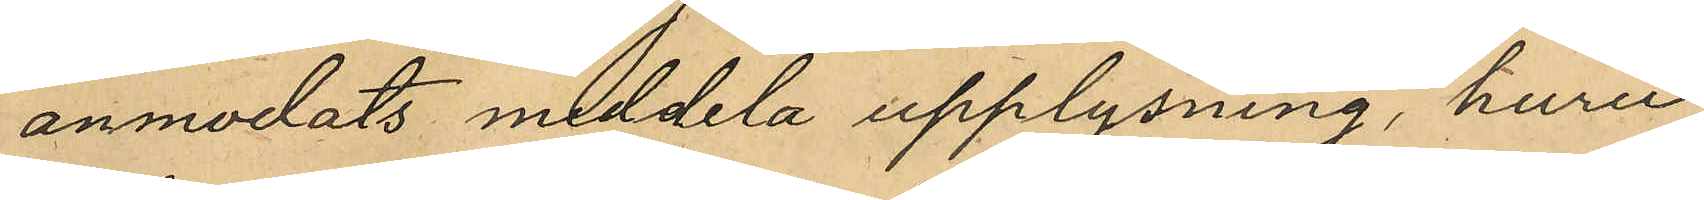anmodats meddela upplysning, huru
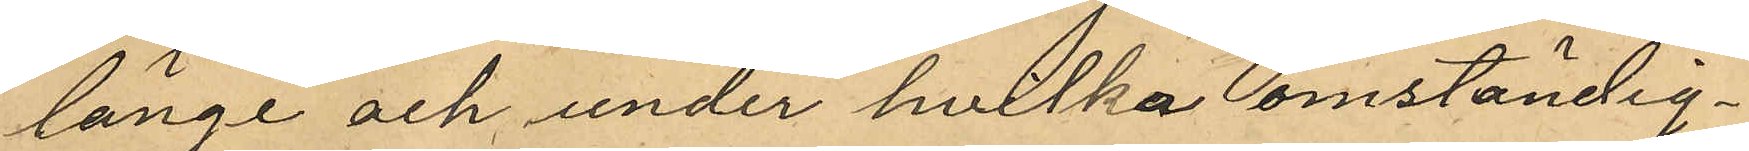länge och under hvilka omständig¬
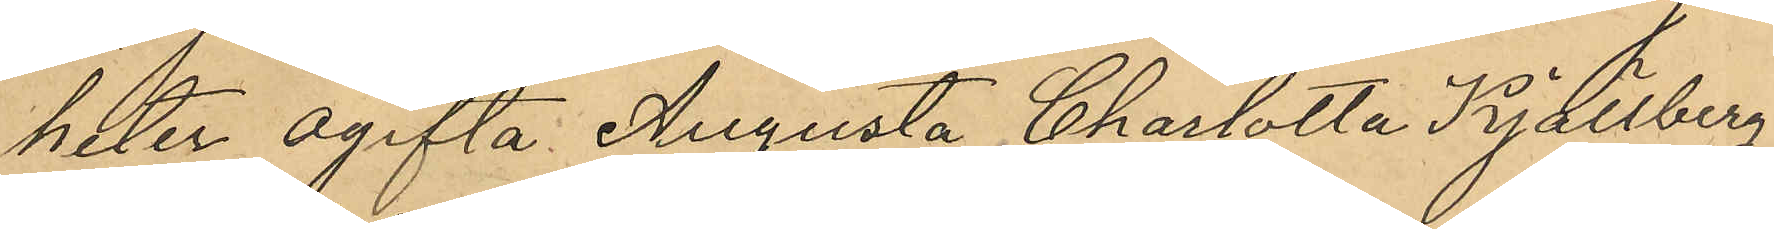heter ogifta Augusta Charlotta Kjällberg
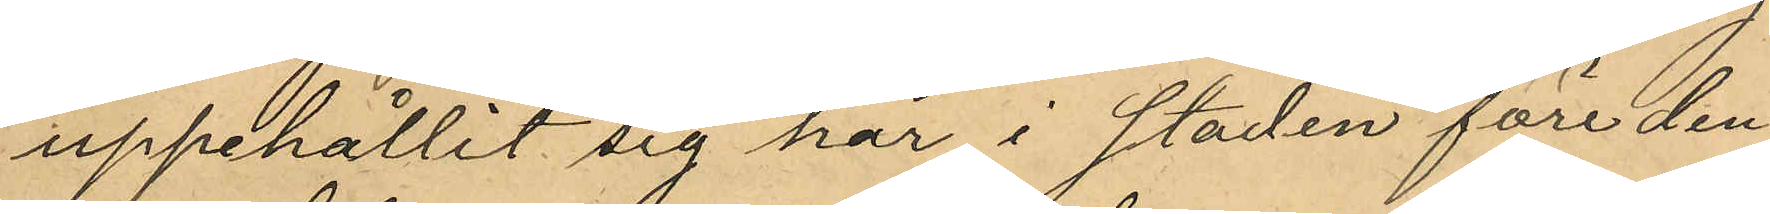uppehållit sig här i staden före den
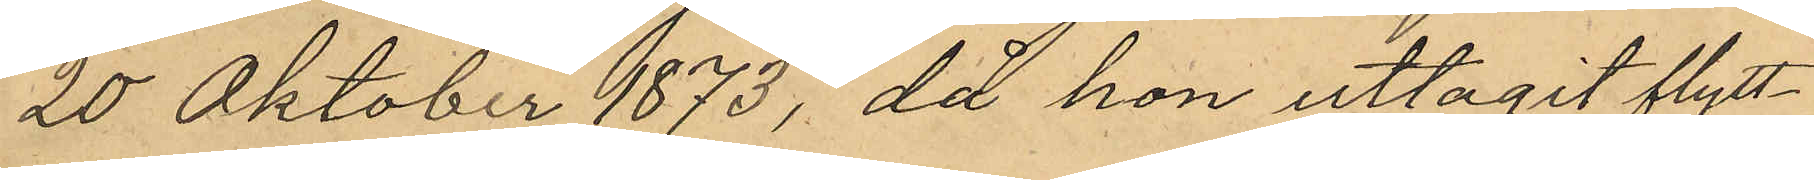20 Oktober 1873, då hon uttagit flytt¬
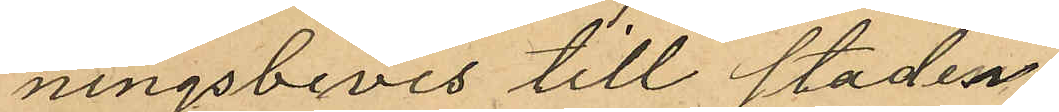ningsbevis till staden
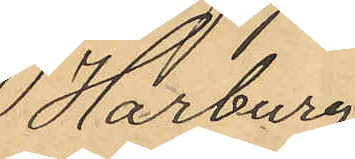Harburg
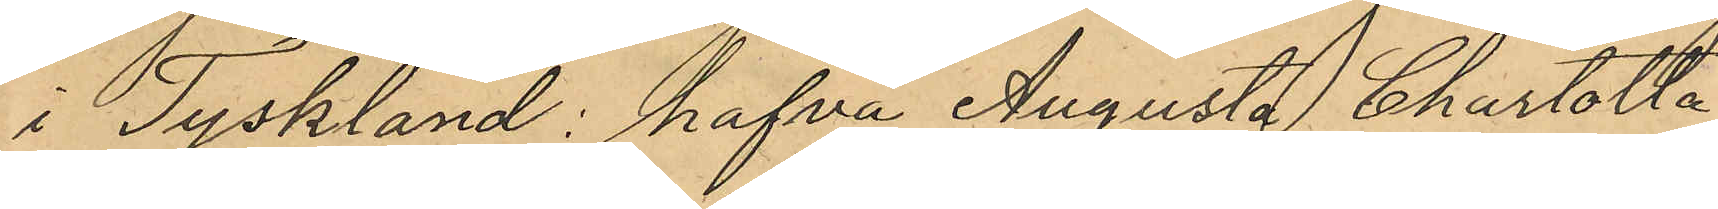i Tyskland: hafva Augusta Charlotta
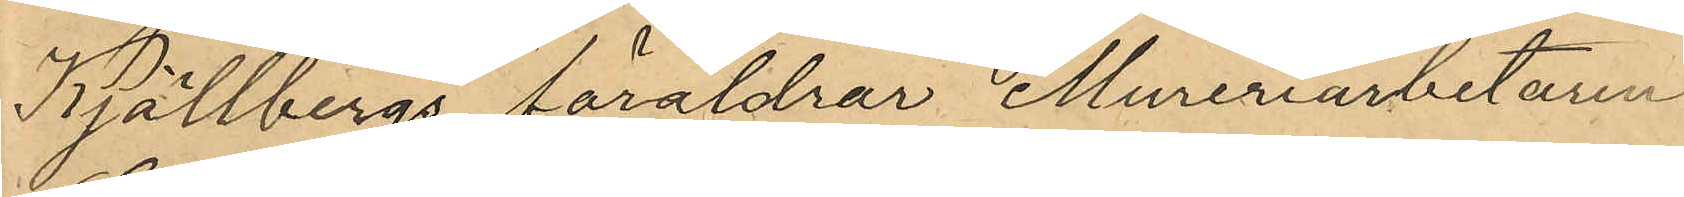Kjällbergs föräldrar Mureriarbetaren
